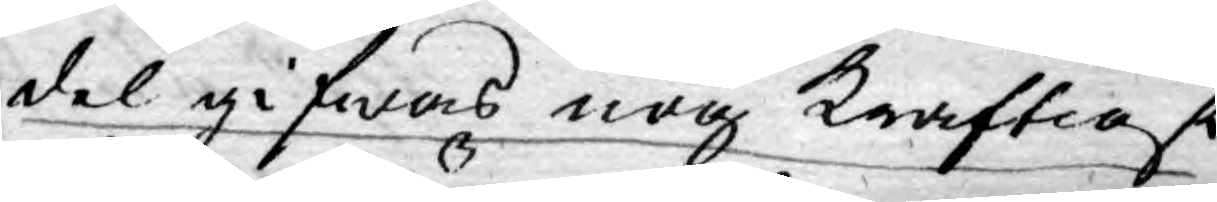del gifwas nog kraftigt
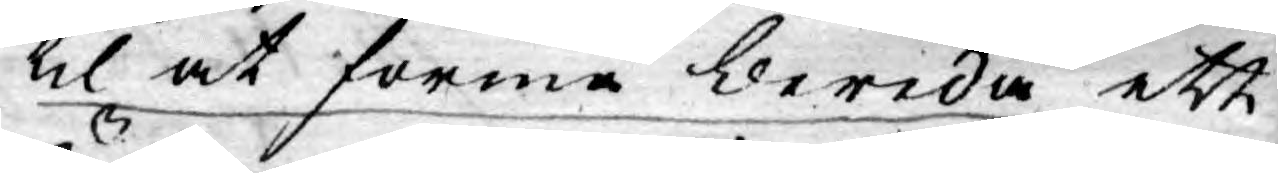til at förmå bereda ett
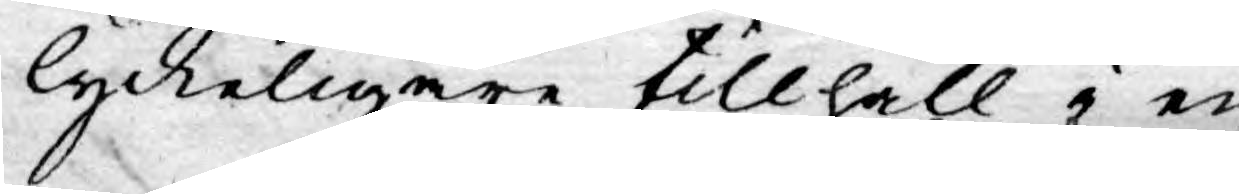lyckeligare tillhåll i en
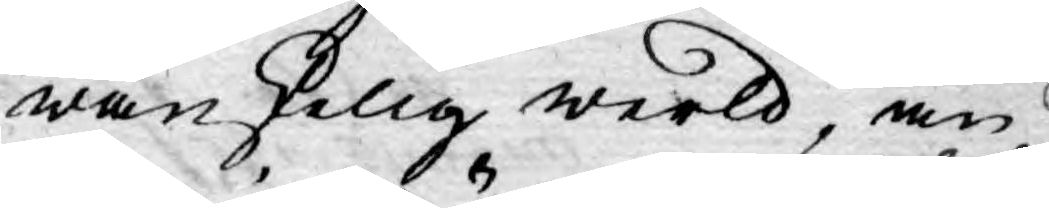wanskelig werld, än
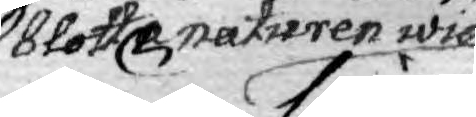blotte naturen wid
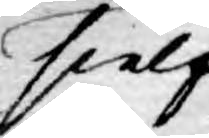sielf¬
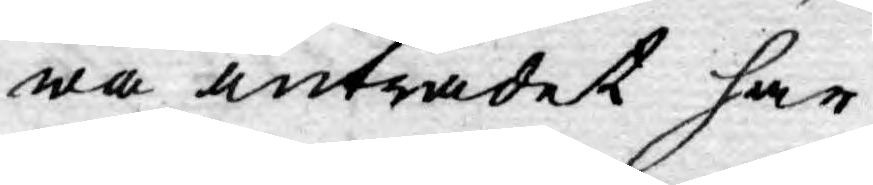wa inträdet har
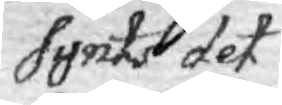synts det
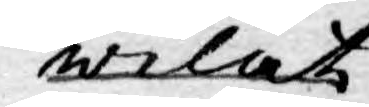welat
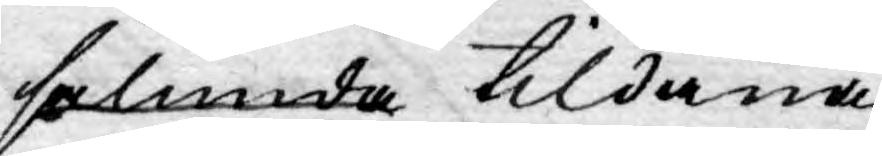sålunda tildana.
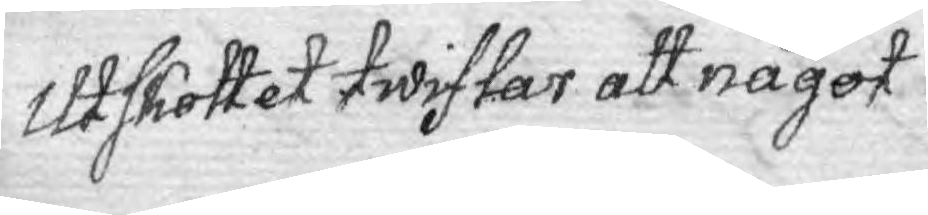Utskottet twiflar att något
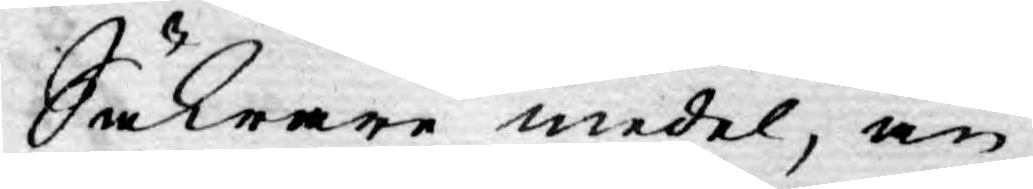Säkrare medel, än
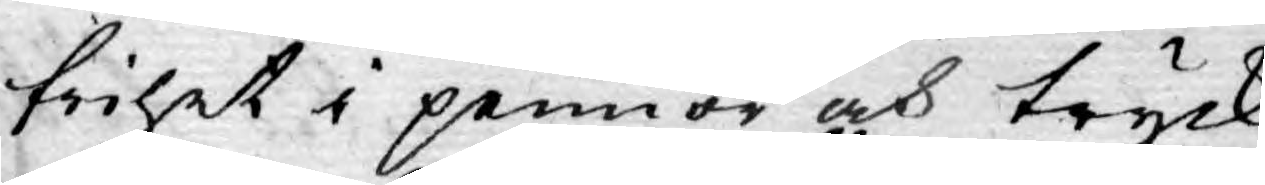frihet i pennor och tryck,
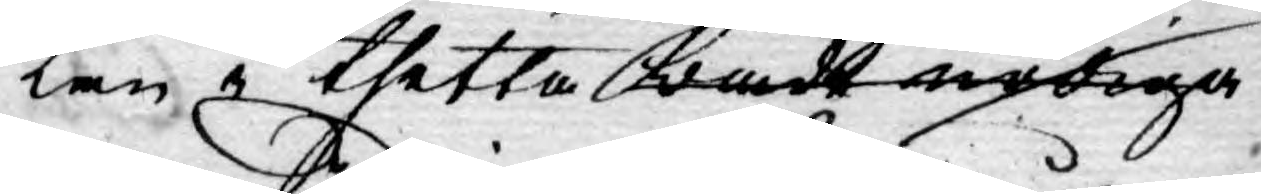kan i thetta wårdt nödiga
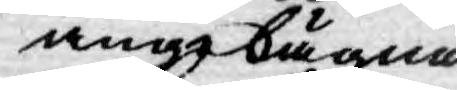anglägnas
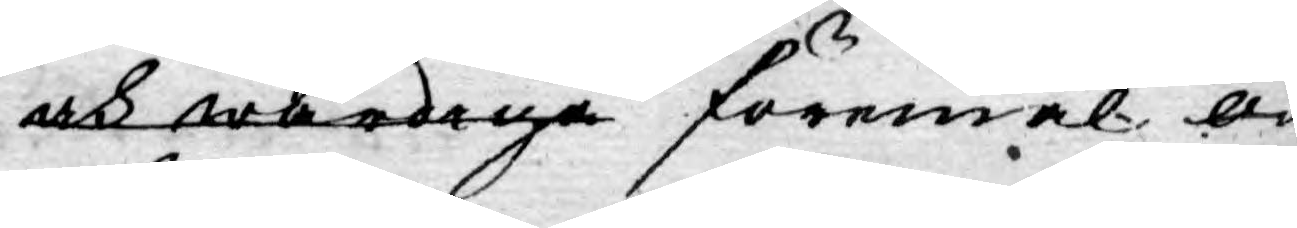och wärdiga föremål o¬
